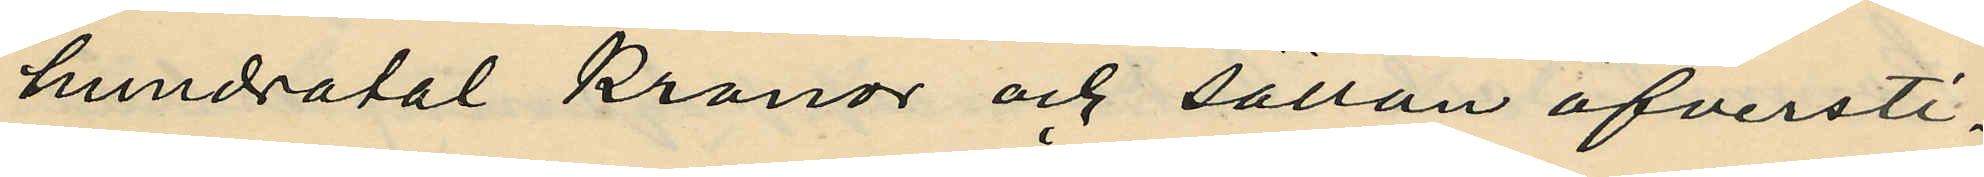hundratal Kronor och sällan öfversti¬
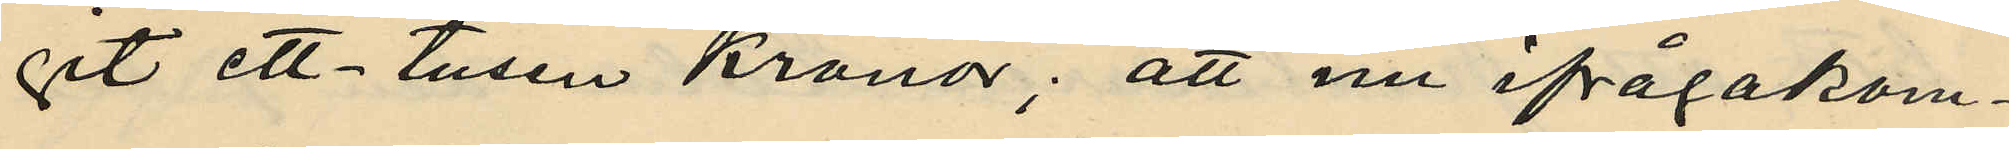git ett-tusen Kronor; att nu ifrågakom¬
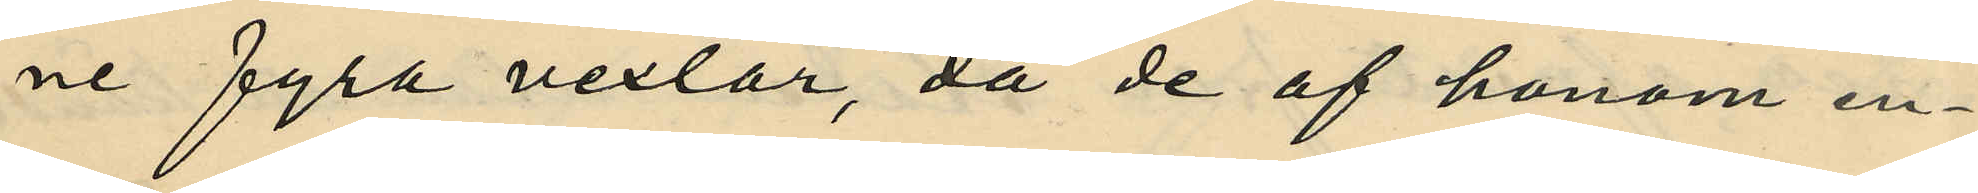ne fyra vexlar, då de af honom en¬
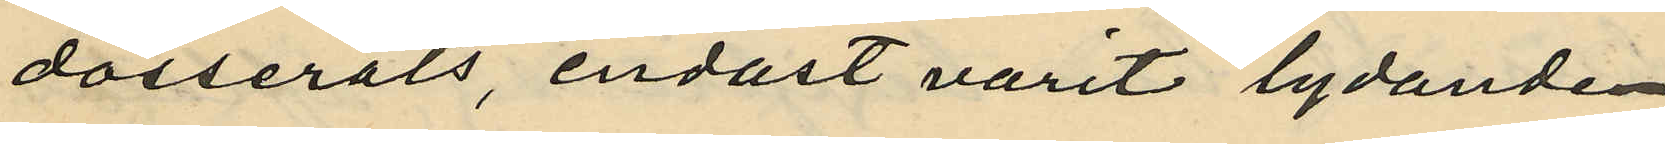dosserats, endast varit lydande:
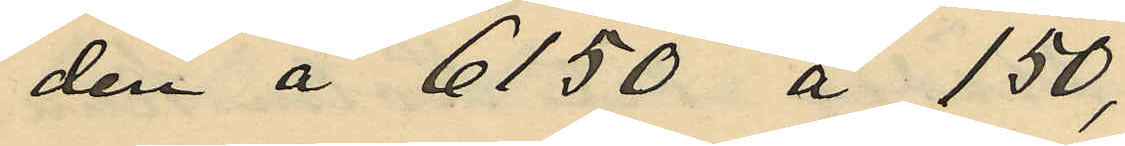den å  6150 å 150,
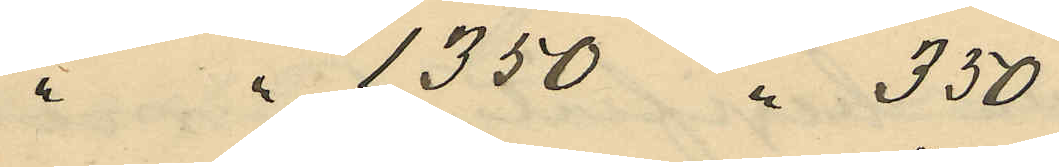" " 1350 " 350
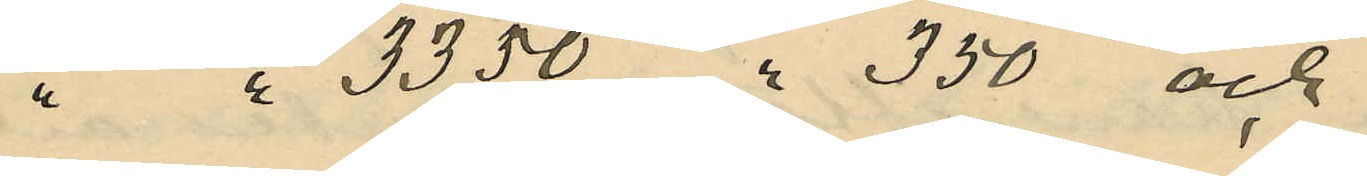" " 3350 " 350 och
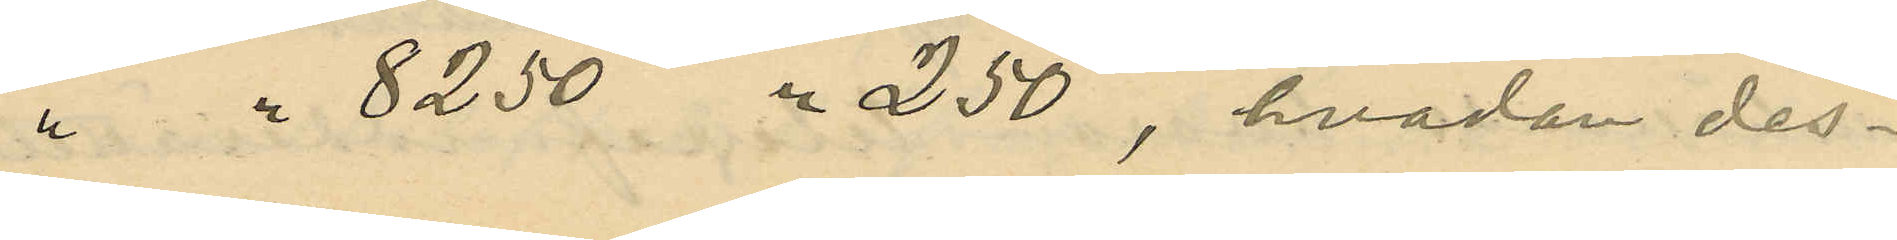" " 8250 " 250, hvadan des¬
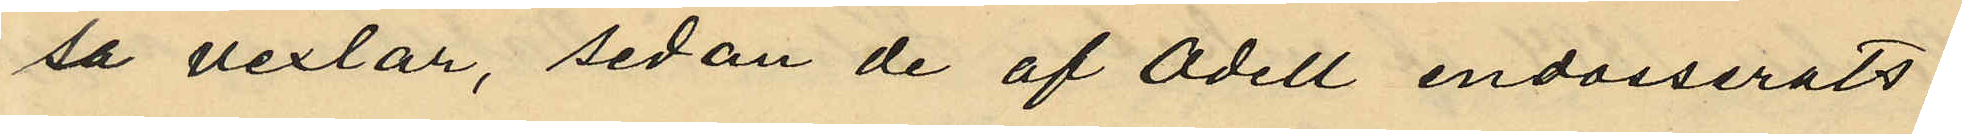sa vexlar, sedan de af Odell endosserats,
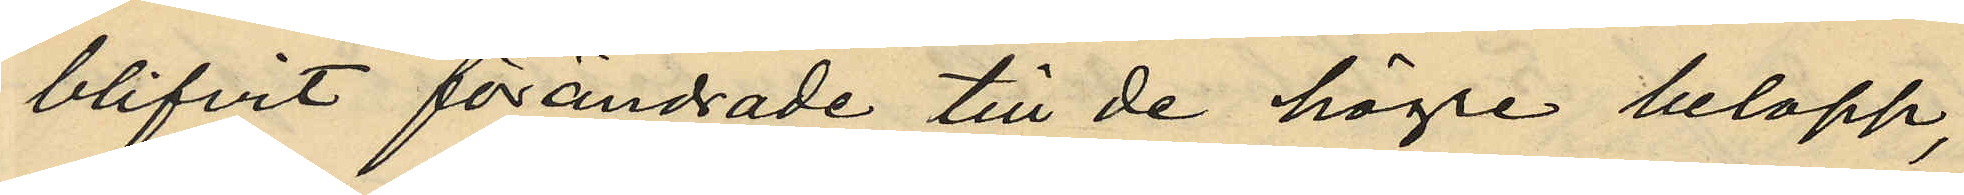blifvit förändrade till de högre belopp,
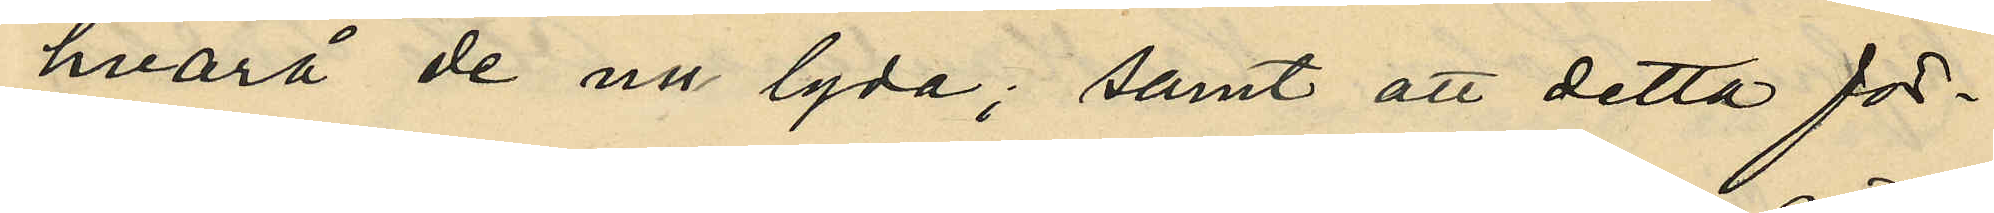hvarå de nu lyda; samt att detta för¬
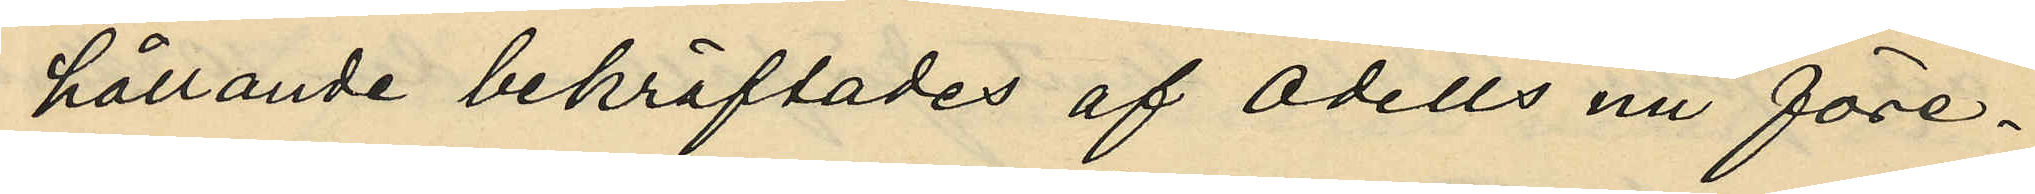hållande bekräftades af Odells nu före¬
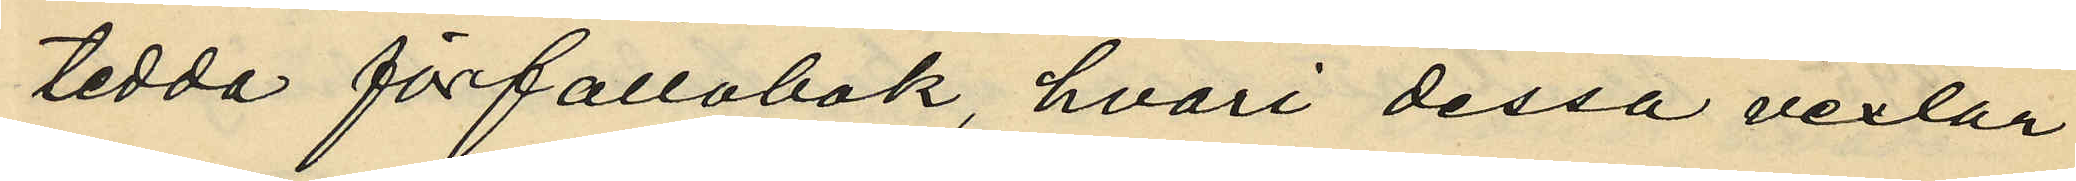tedda förfallobok, hvari dessa vexlar
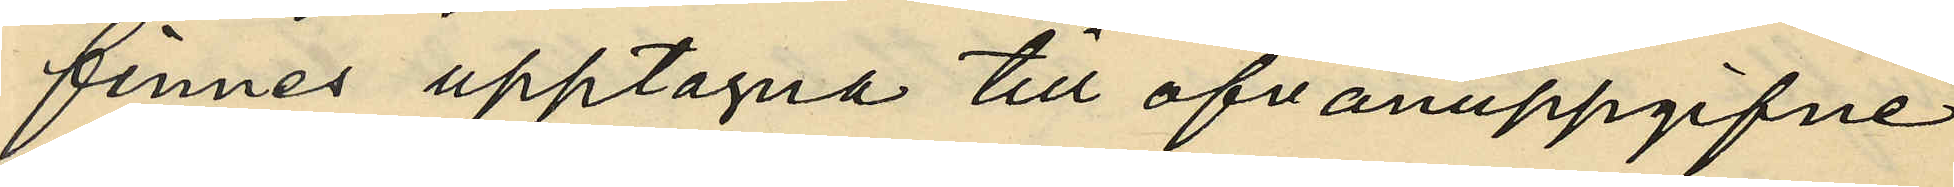finnes upptagna till ofvanuppgifne
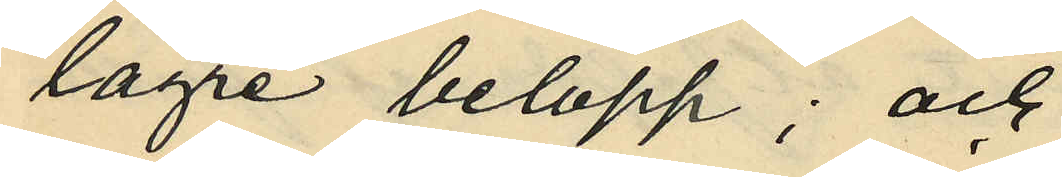lägre belopp; och
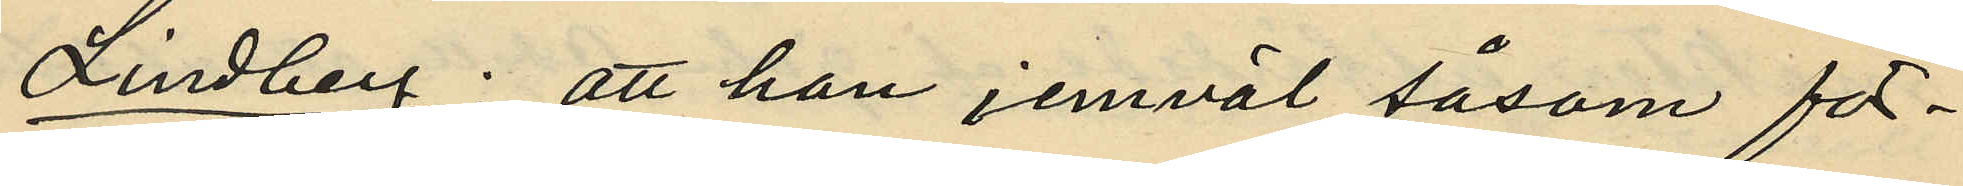Lindberg: att han jemväl såsom för¬
